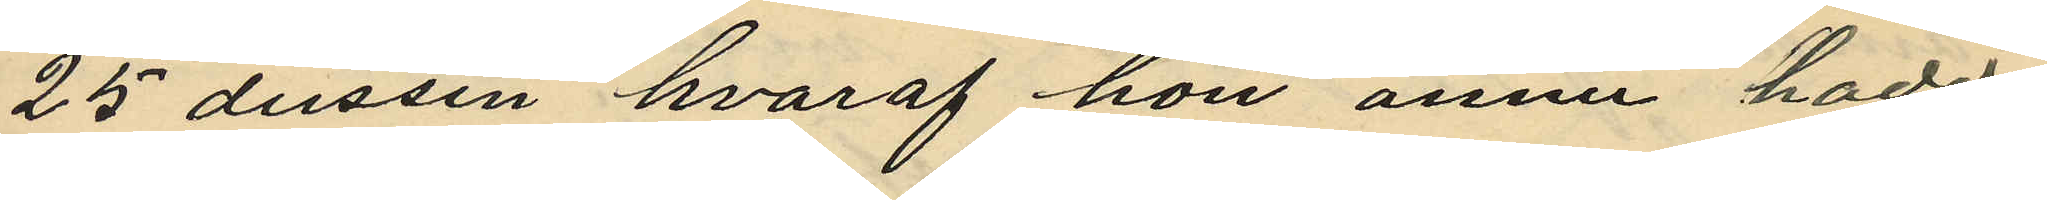25 dussin hvaraf hon ännu hadde
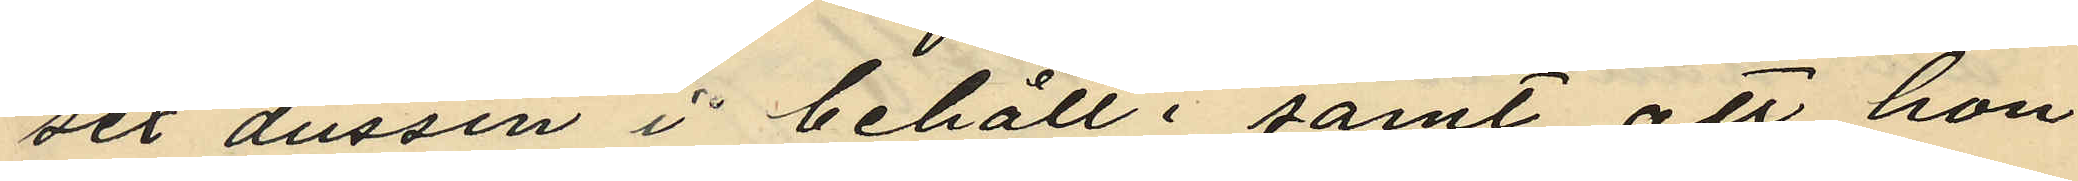sex dussin i behåll; samt att hon
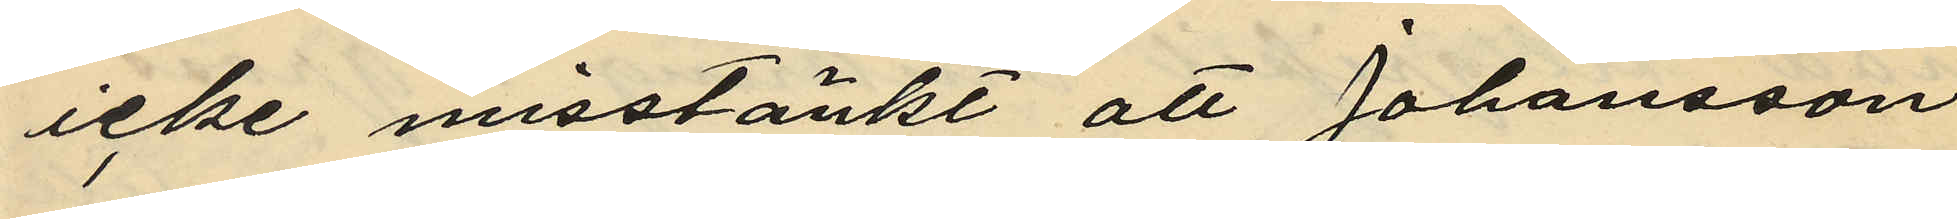icke misstänkt att Johansson
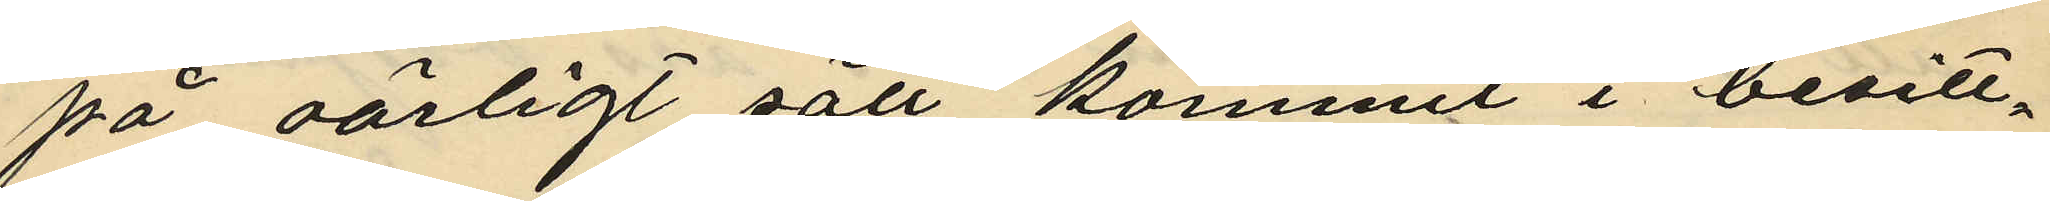på oärligt sätt kommit i besitt¬
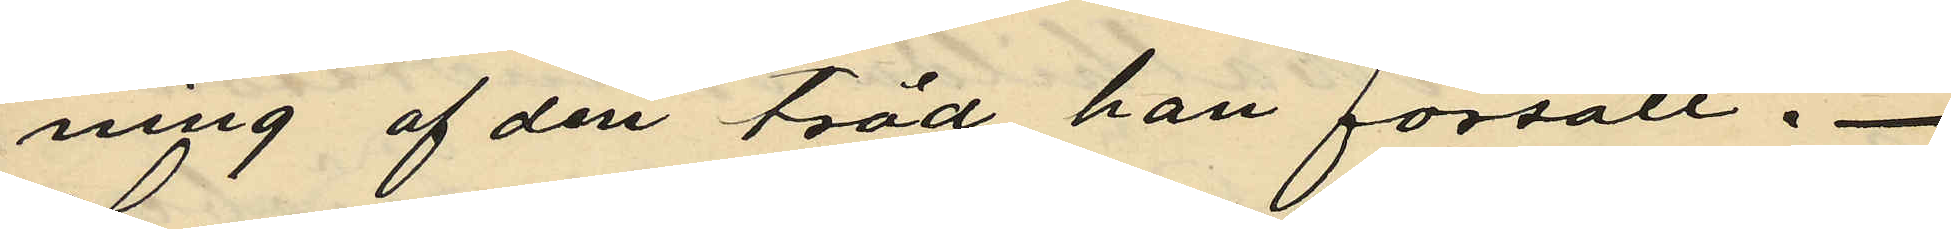ning af den tråd han försålt.
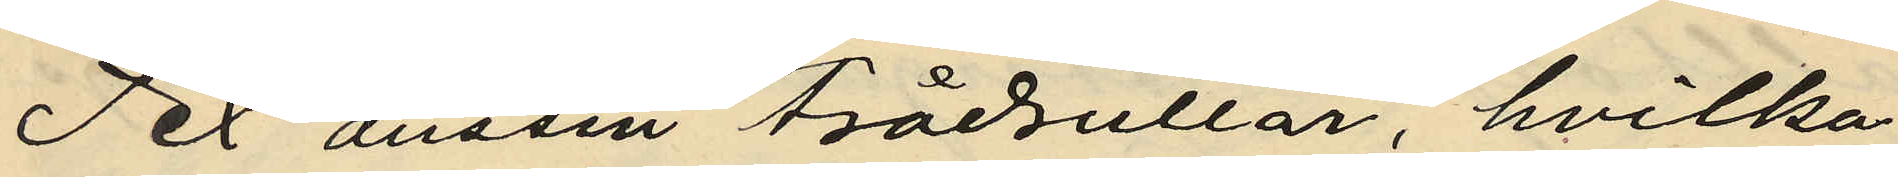Sex dussin trådrullar, hvilka
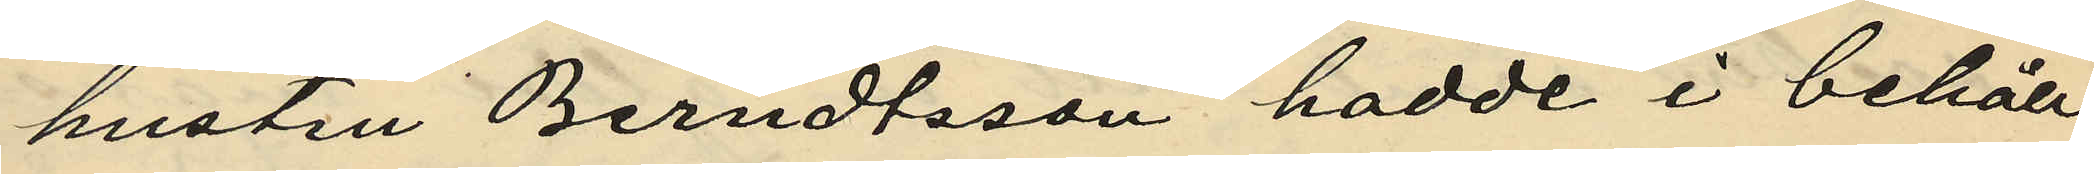hustru Berndtsson hadde i behåll
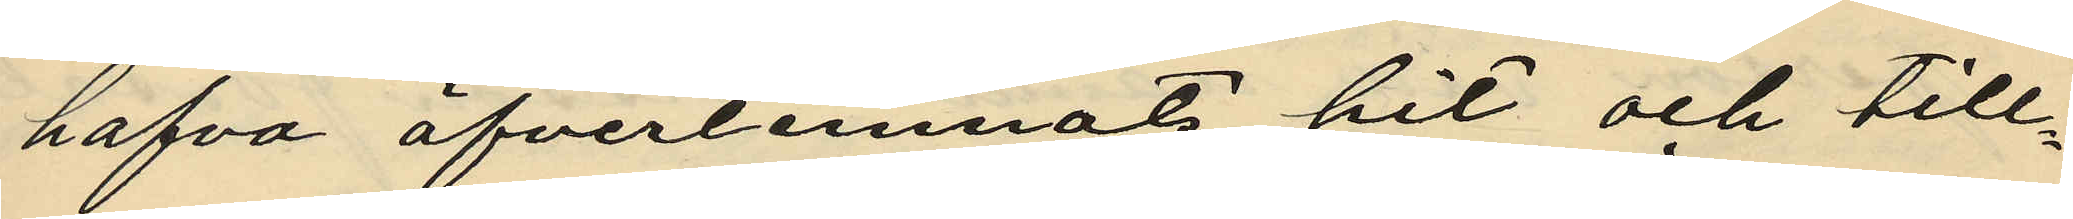hafva öfverlemnats hit och till¬
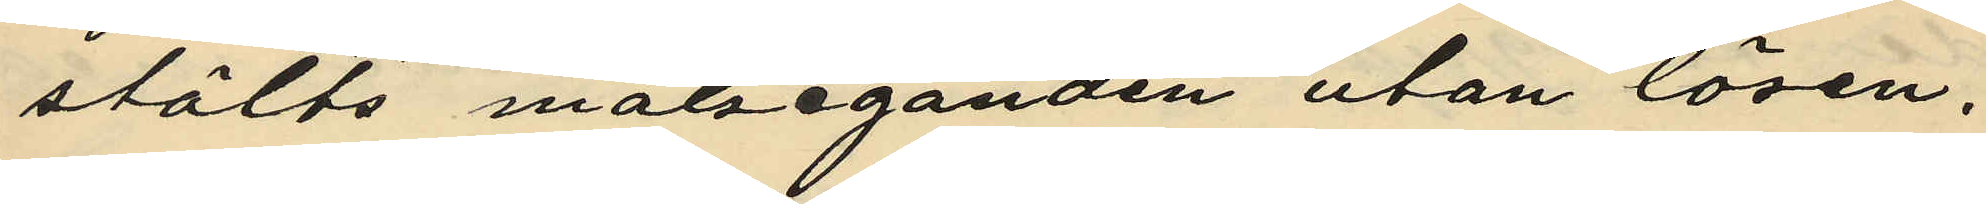stälts målseganden utan lösen. 
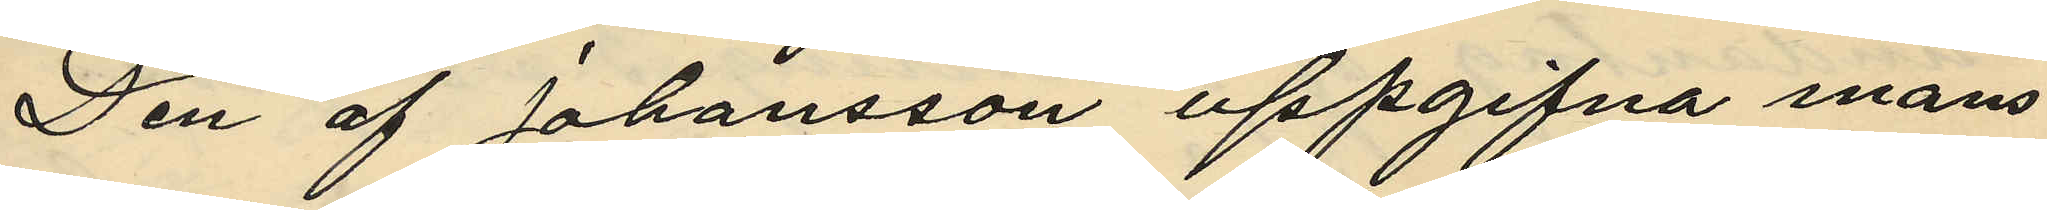Den af Johansson uppgifna mans¬
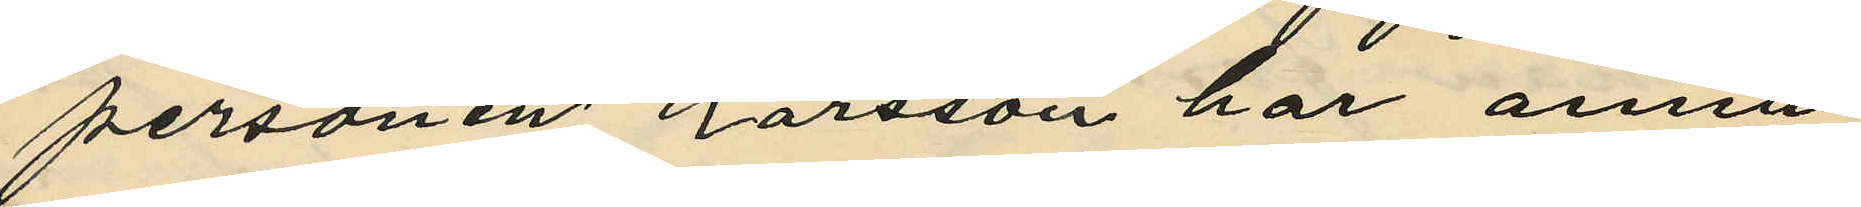personen Larsson har ännu
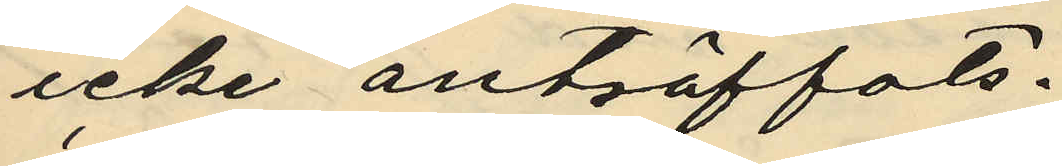icke anträffats.
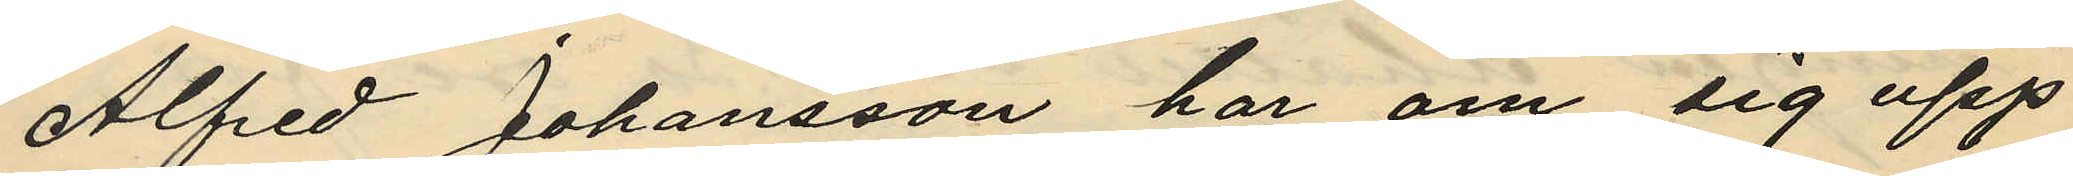Alfred Johansson har om sig upp¬
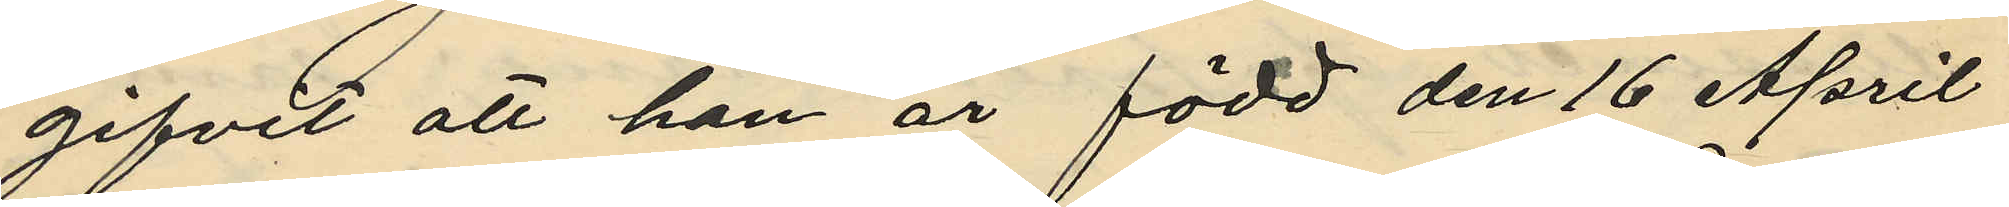gifvit att han är född den 16 April
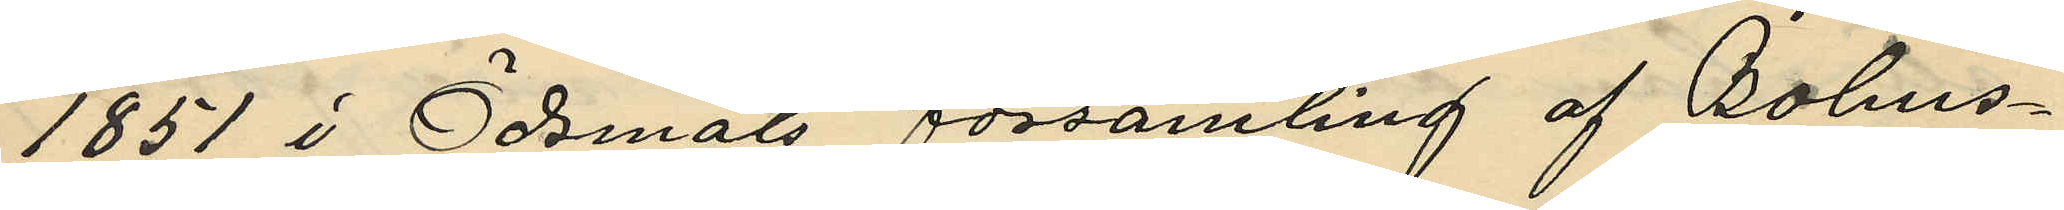1851 i Ödsmåls församling af Bohus¬
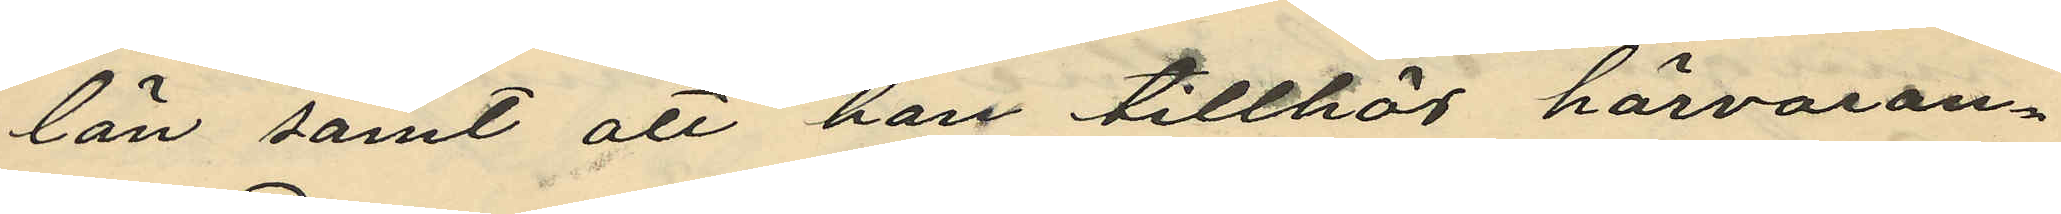län samt att han tillhör härvaran¬
